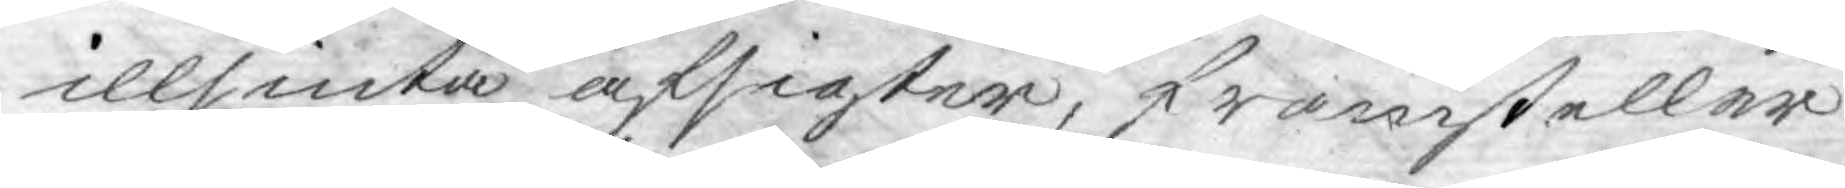illsinta afsigter, framsteller
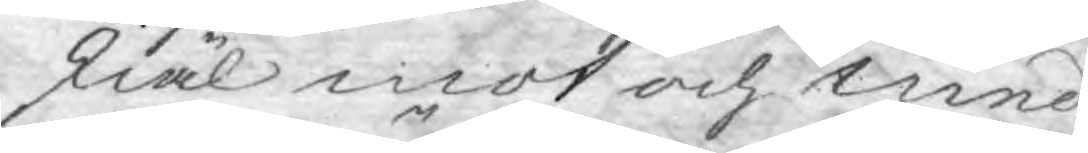skiäl mot och med.
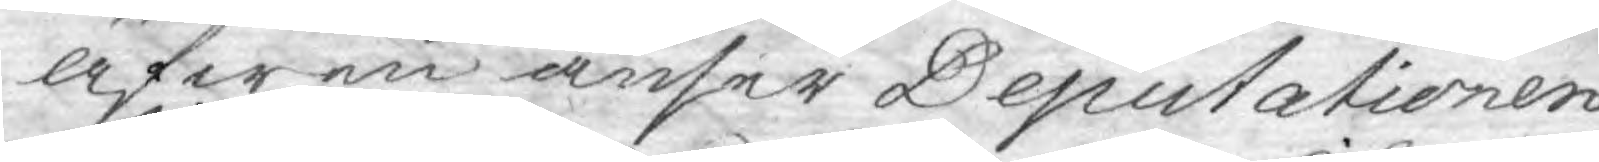äfwen anser Deputationen
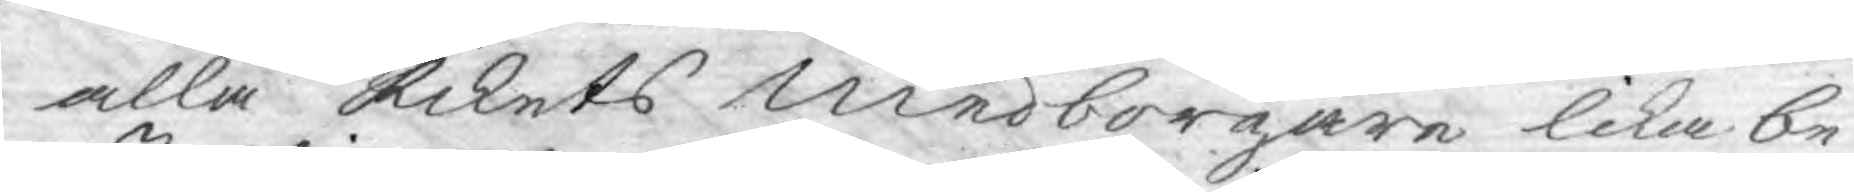alla Rikets medborgare lika be¬
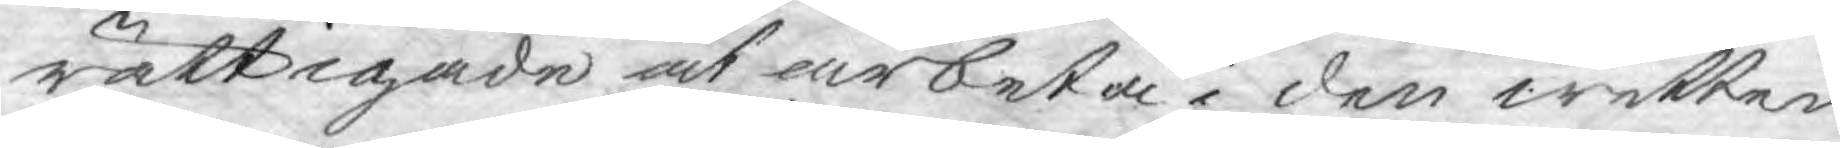rättigade at arbeta i den wetten¬
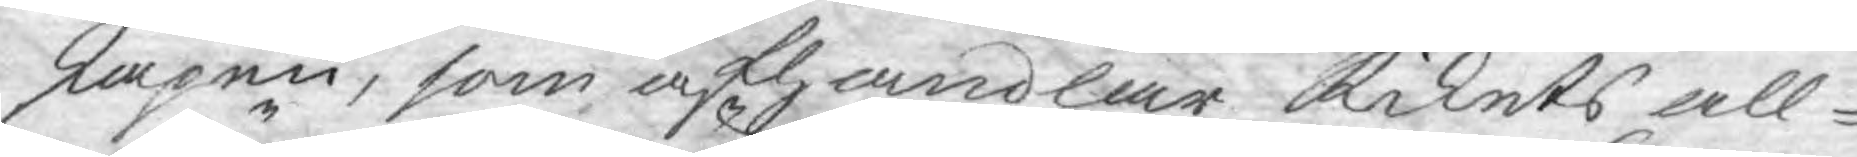skapen, som afhandlar Rikets all¬
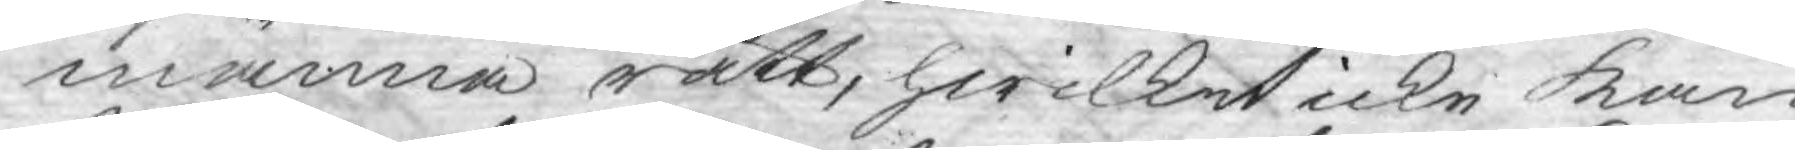männa rätt, hwilket icke kan
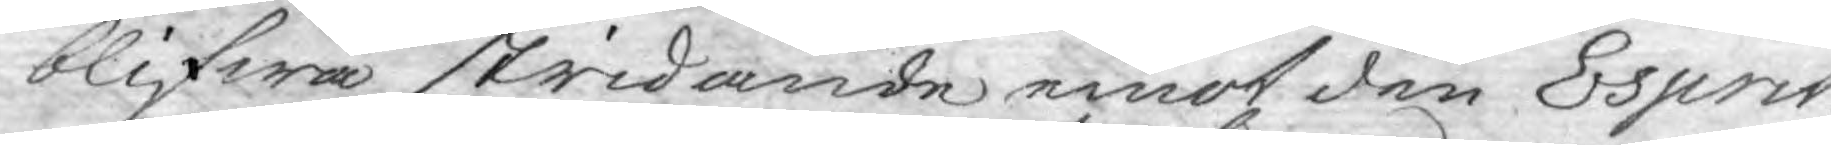blifwa stridande emot den Esprit
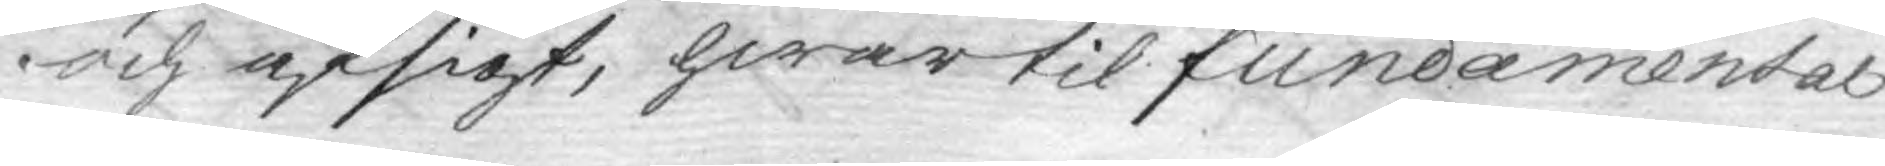och afsigt, hwartil fundamental
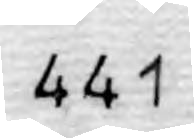441
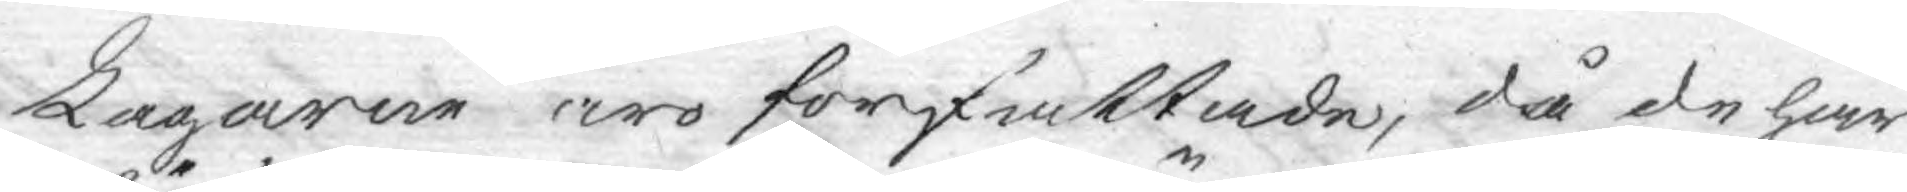Lagarne äro författade, då de här
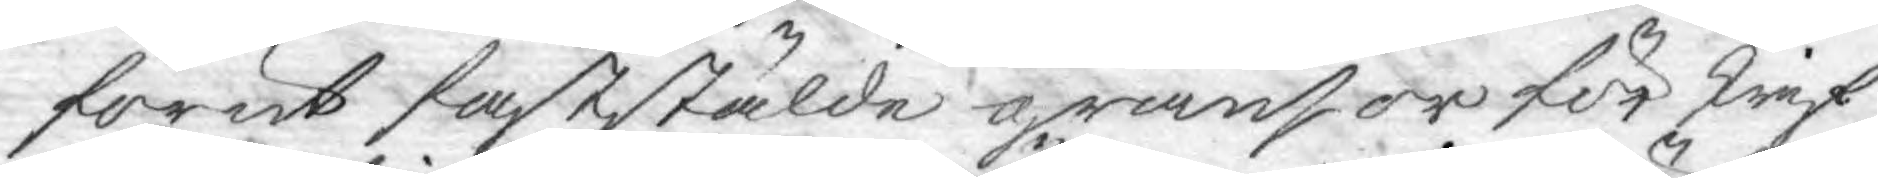förut faststälde gränsor för skrif
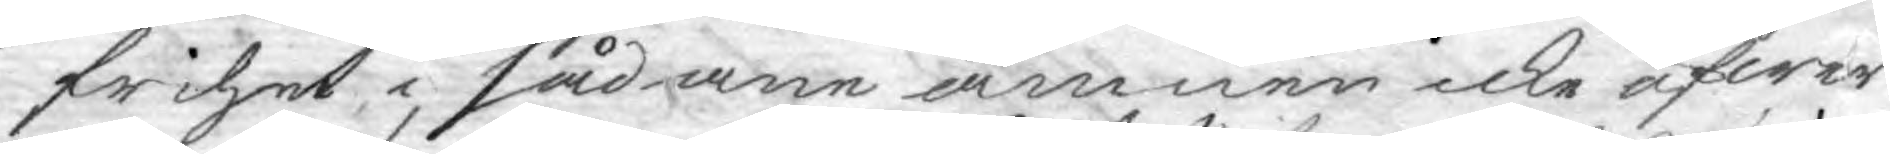frihet, i sådane ämnen icke öfwer¬
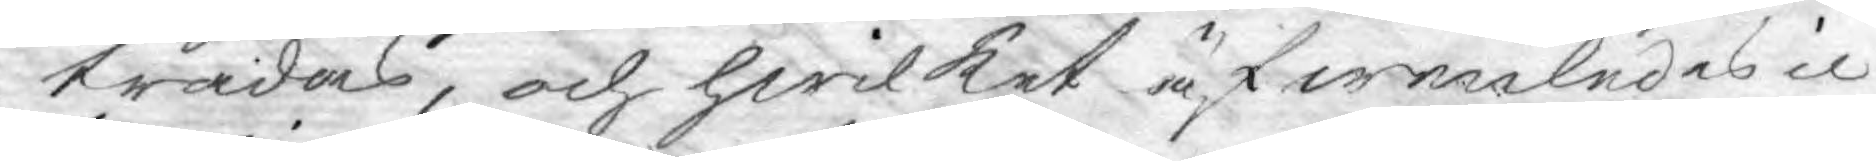trädas, och hwilket äfwenledes ic¬
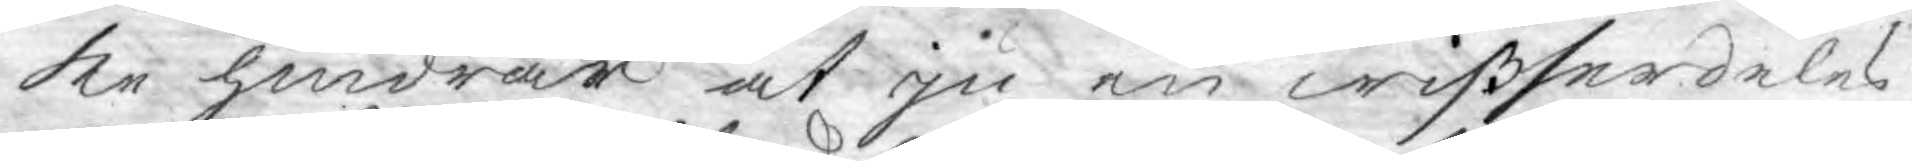ke hindrar at ju en wiß serdeles
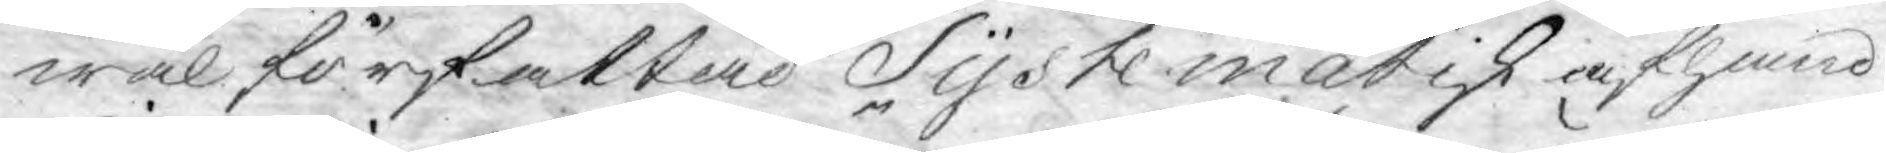wäl författad Systematik afhand¬
